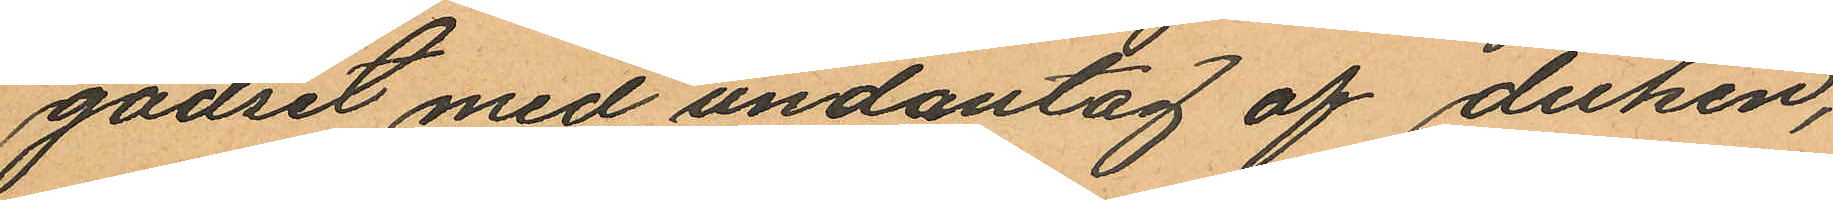godset med undantag af duken,
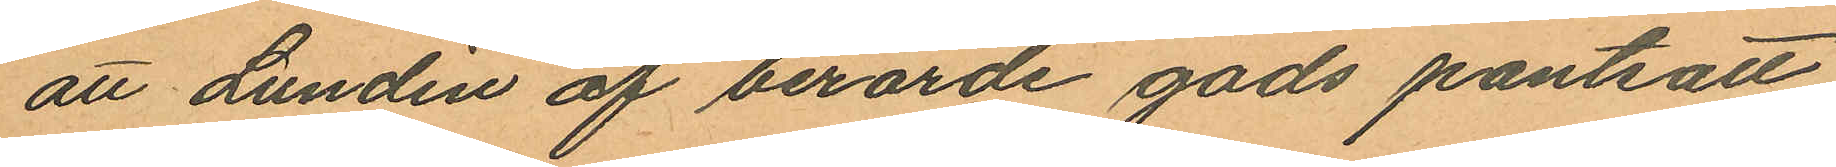att Lundin af berorde gods pantsatt
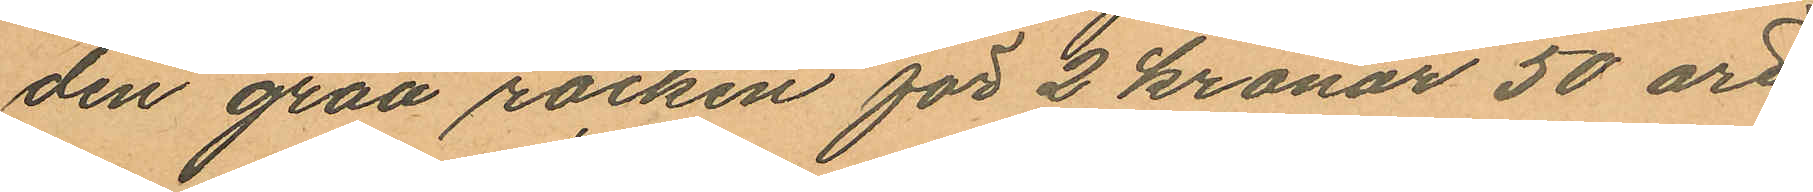den gråa rocken för 2 kronor 50 öre
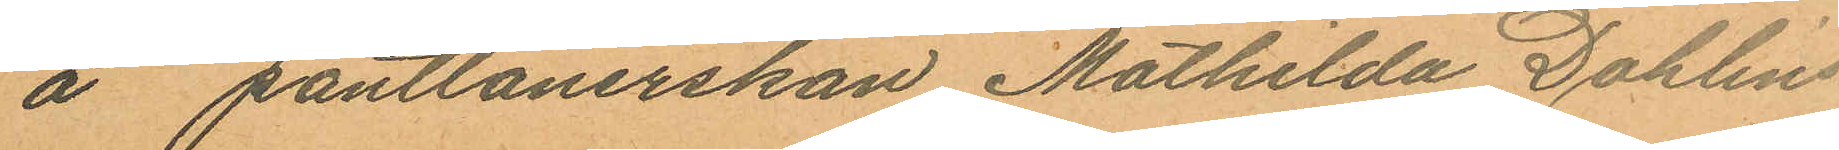å pantlånerskan Mathilda Dahlins
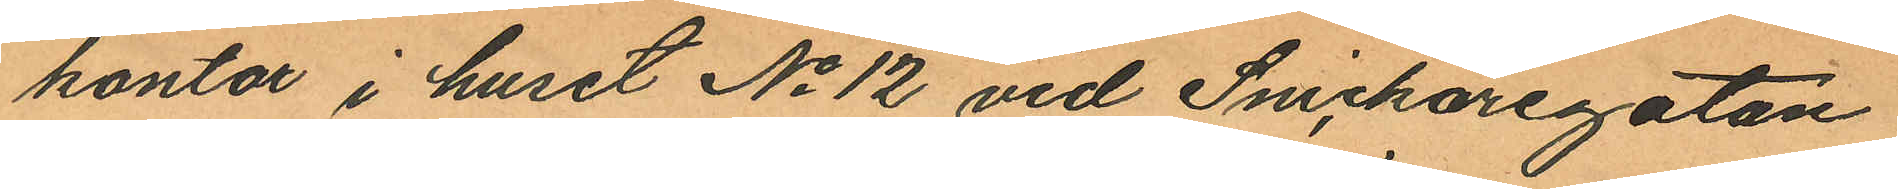kontor i huset No 12 vid Snickaregatan
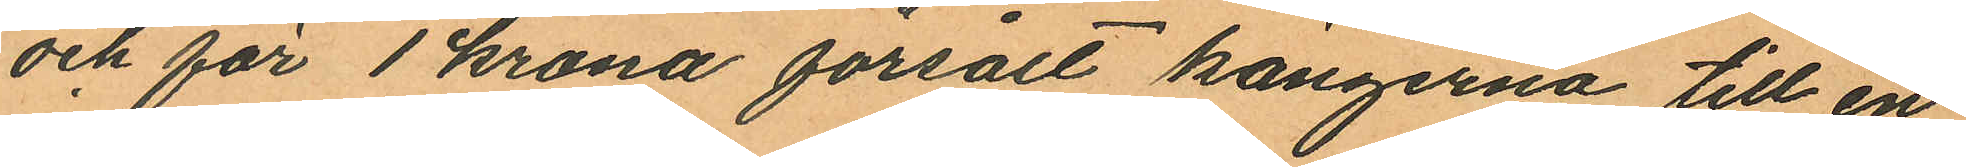och för 1 krona försålt kängerna till en
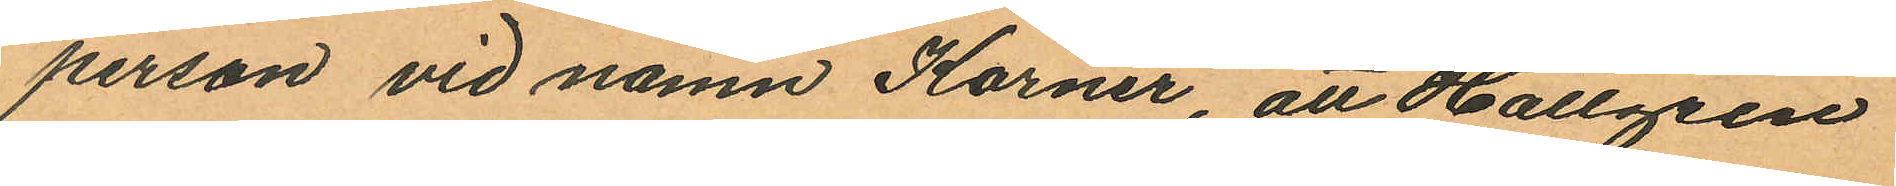person vid namn Körner, att Hallgren
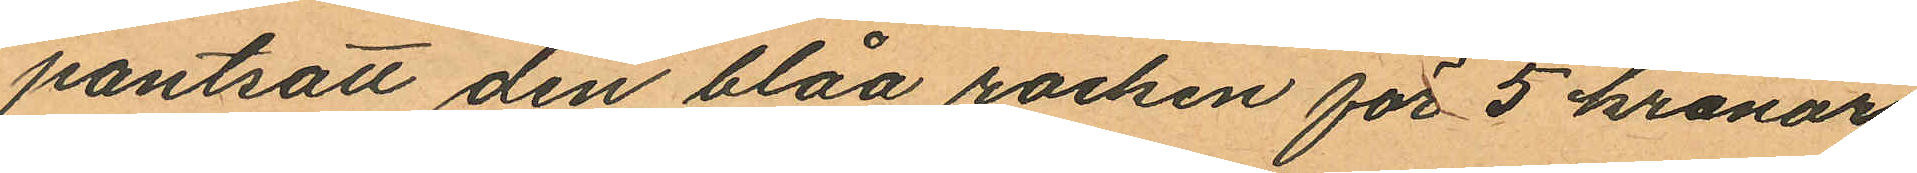pantsatt den blåa rocken för 5 kronor
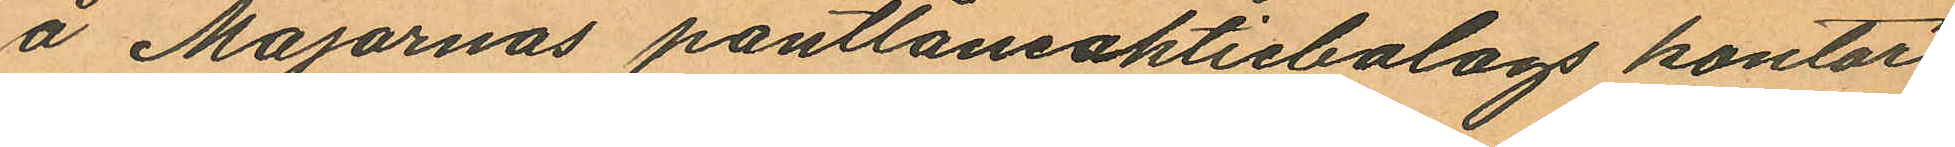å Majornas pantlåneaktiebolags kontor
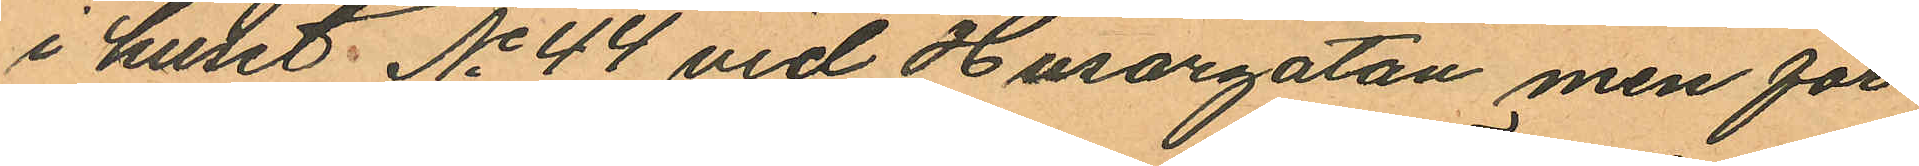i huset No 44 vid Husargatan, men för
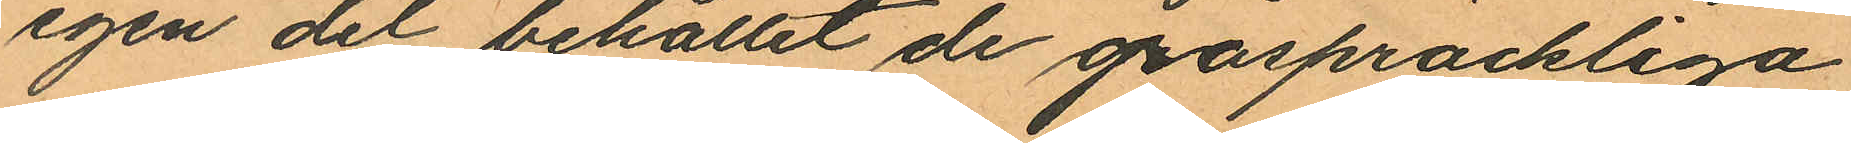igen del behållit de gråspräckliga
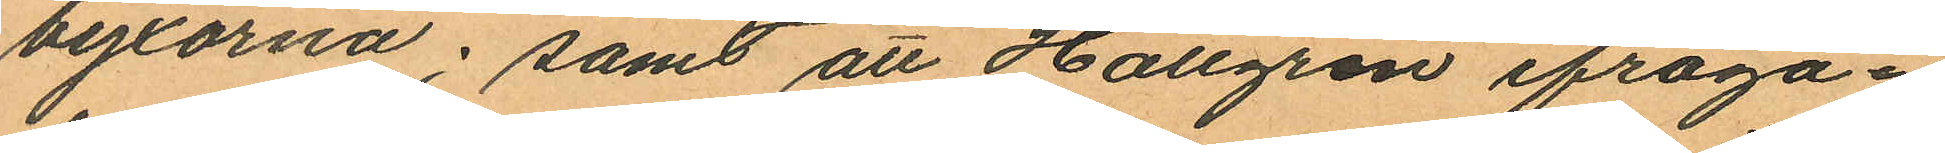byxorna; samt att Hallgren ifråga¬
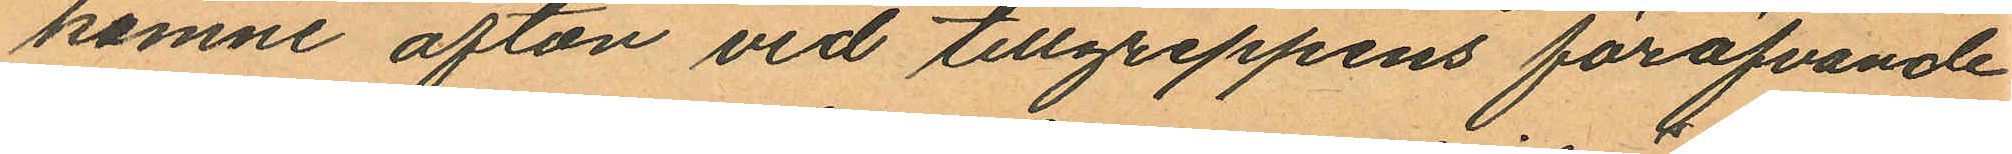komne afton vid tillgreppens föröfvande
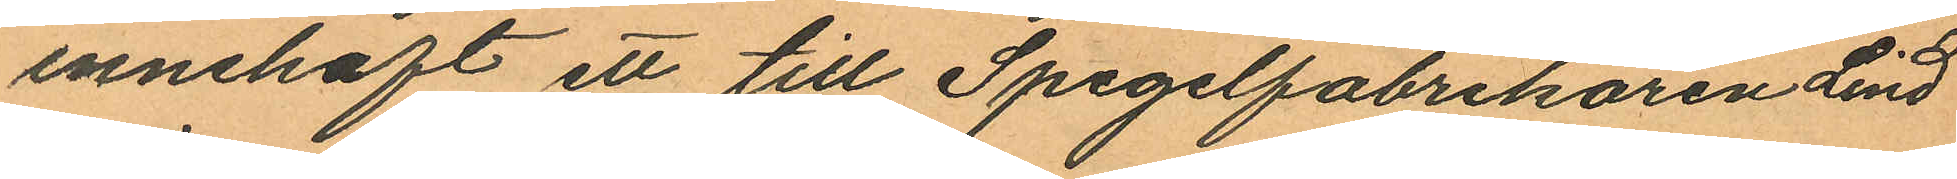innehaft ett till Spegelfabrikören Lind
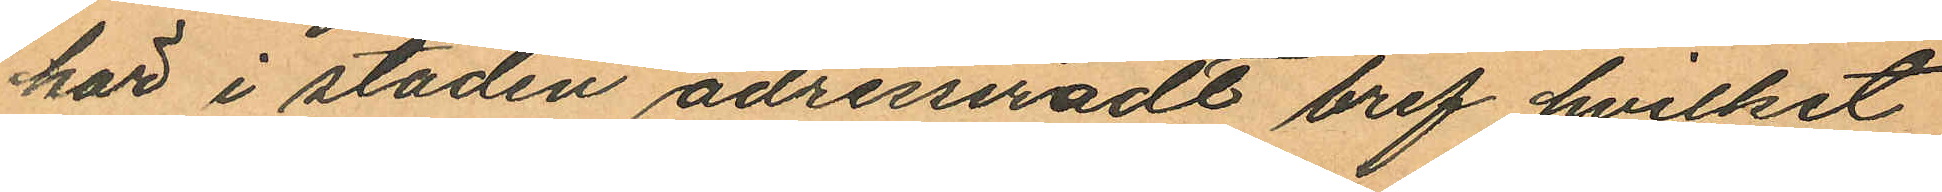här i staden adresseradt bref hvilket
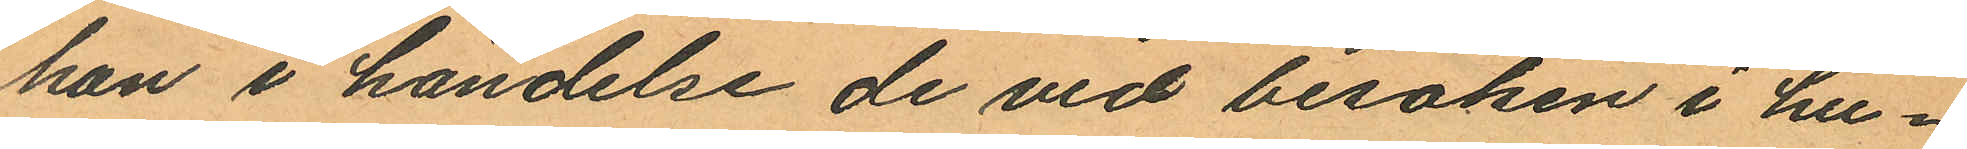han i händelse de vid besöken i hu¬
